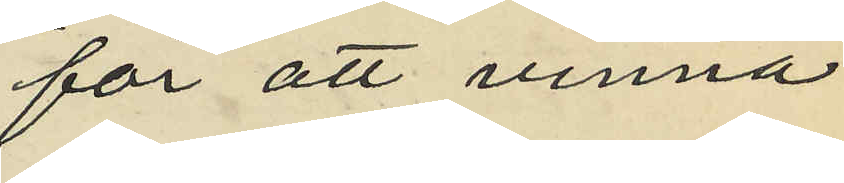för att vinna
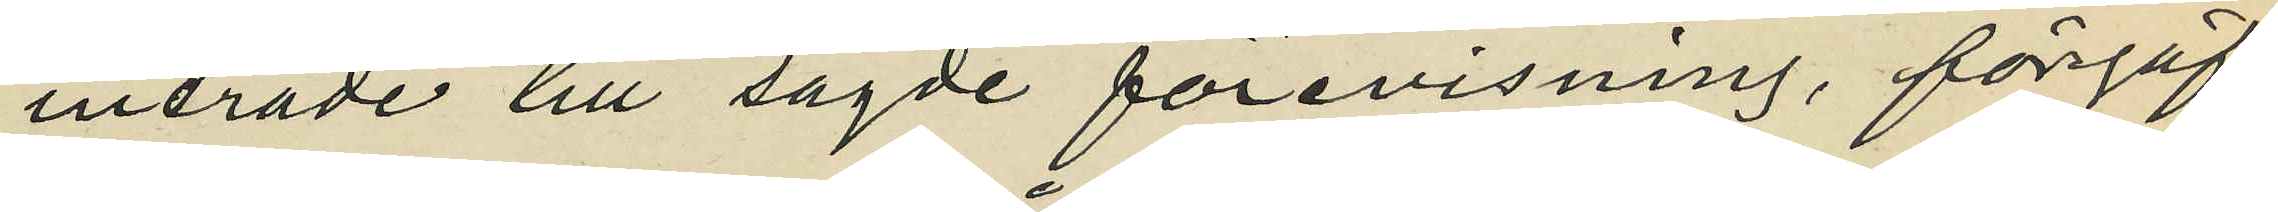inträde till sagde förevisning, förgäf¬
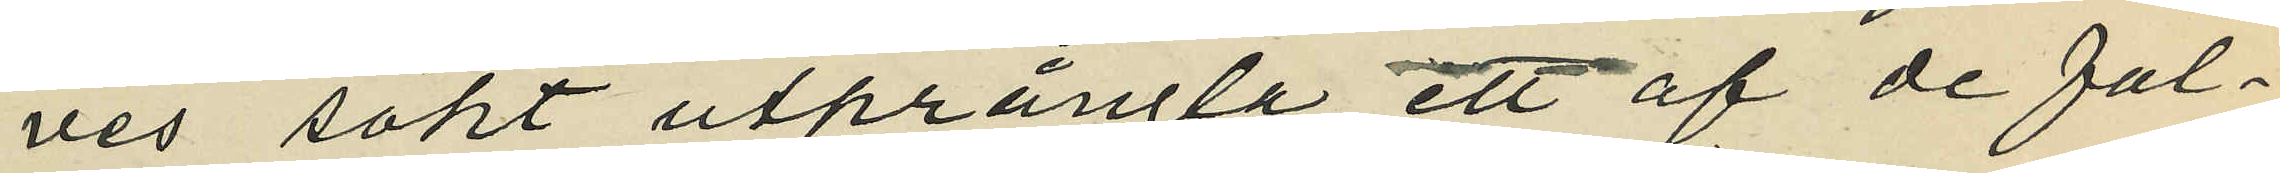ves sökt utprångla ett af de fal¬
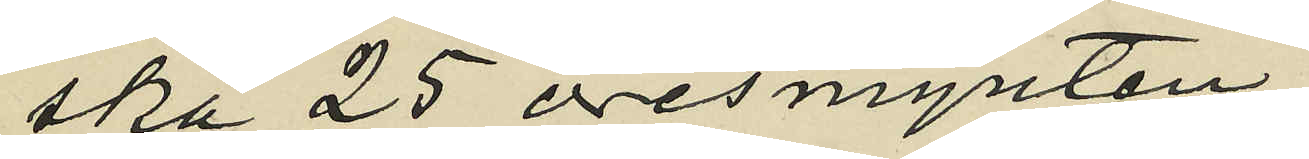ska 25 öresmynten,
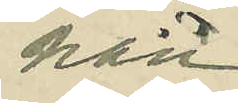han
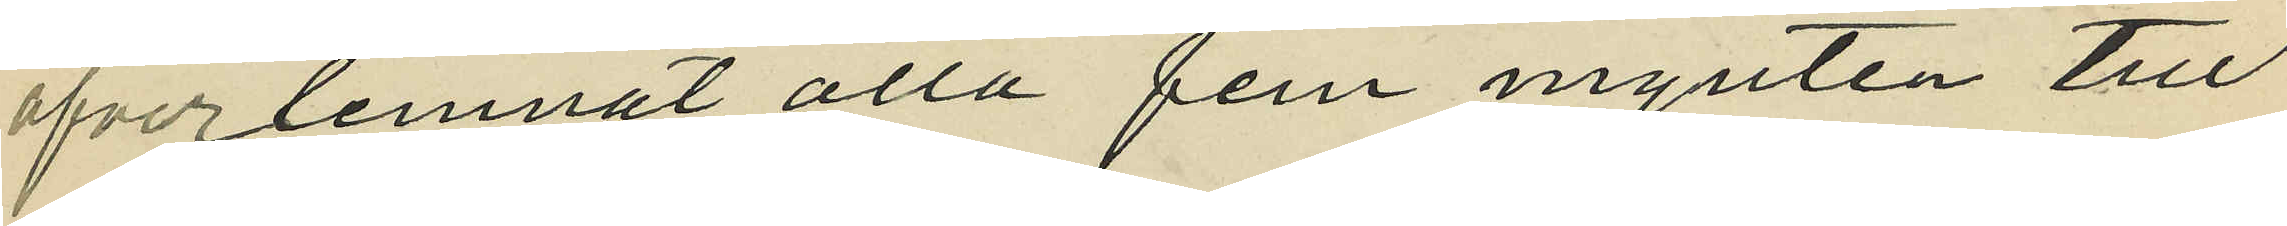öfverlemnat alla fem mynten till
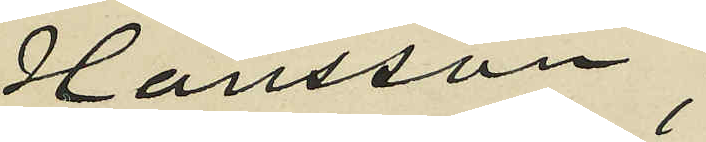Hansson,
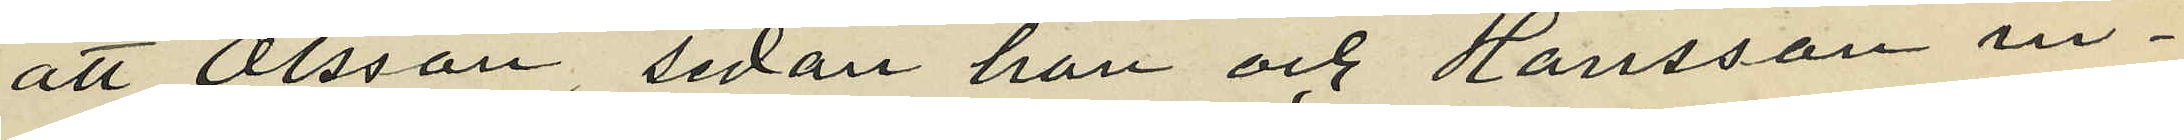att Olsson sedan han och Hansson in¬
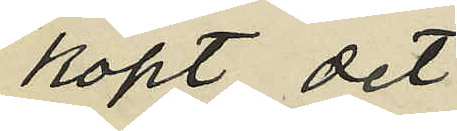köpt det
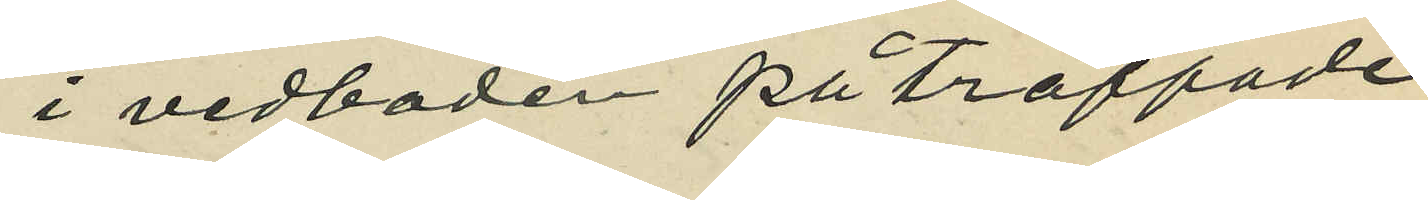i vedboden påträffade
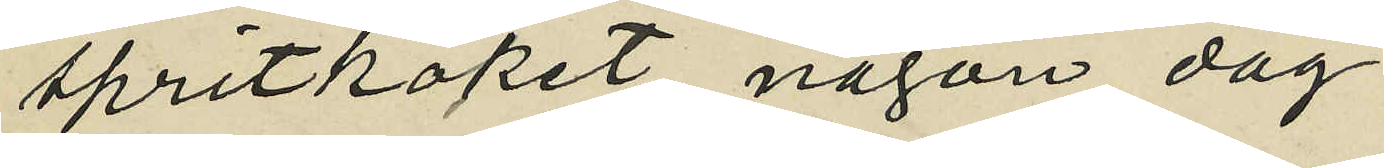spritköket någon dag
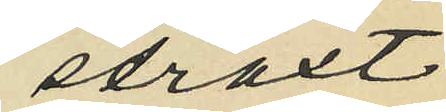straxt
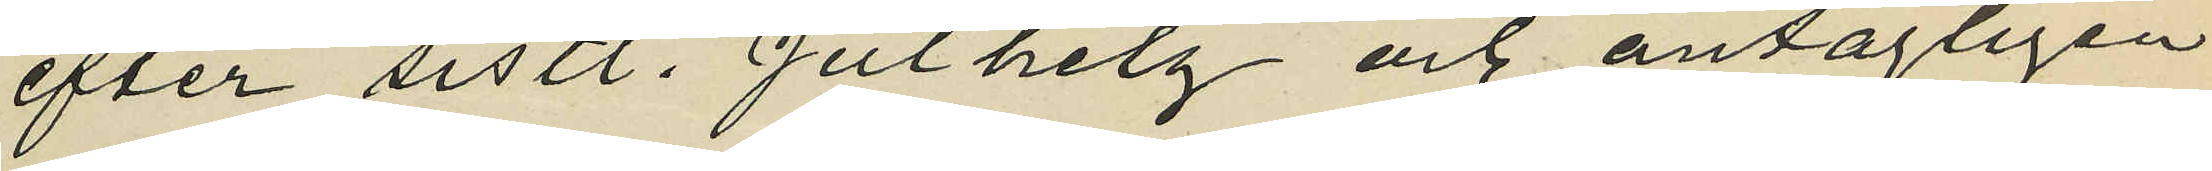efter sistl. Julhelg och antagligen
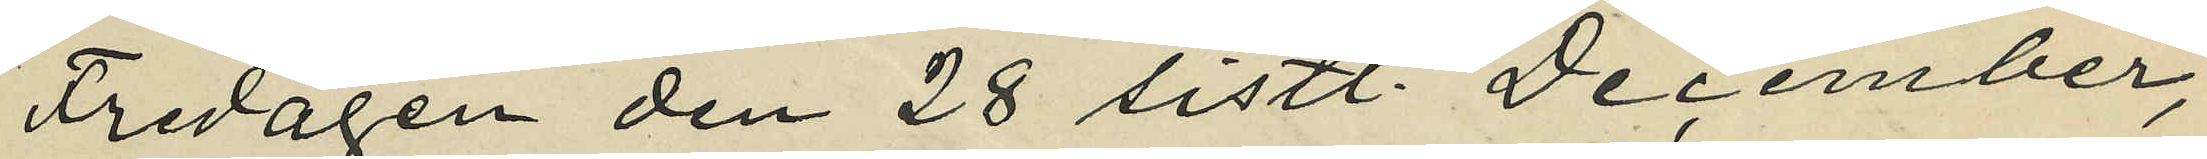Fredagen den 28 sistl. December,
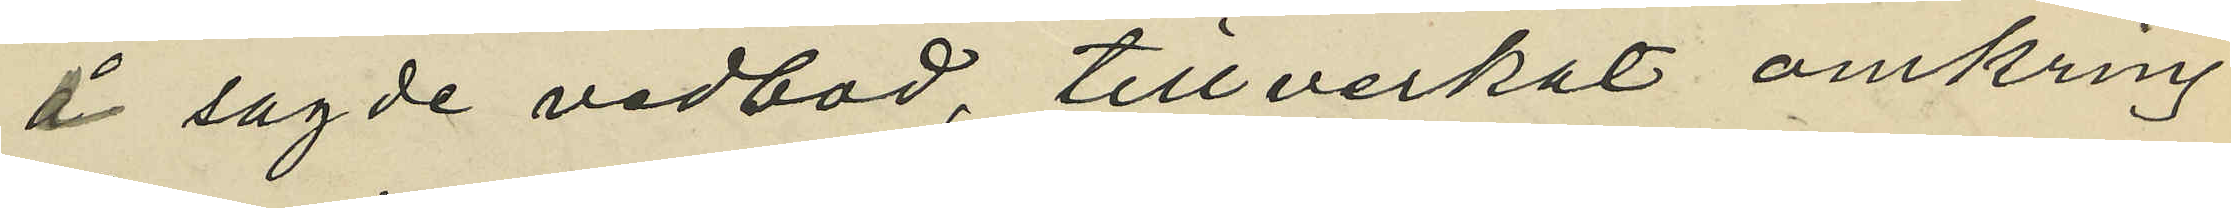å sagde vedbod, tillverkat omkring
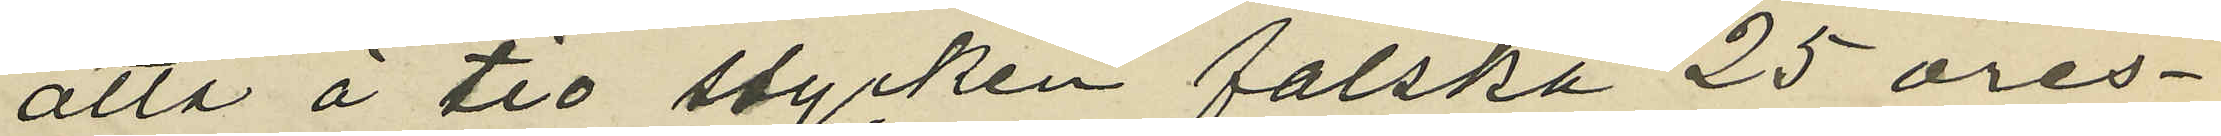åtta á tio stycken falska 25 öres¬
